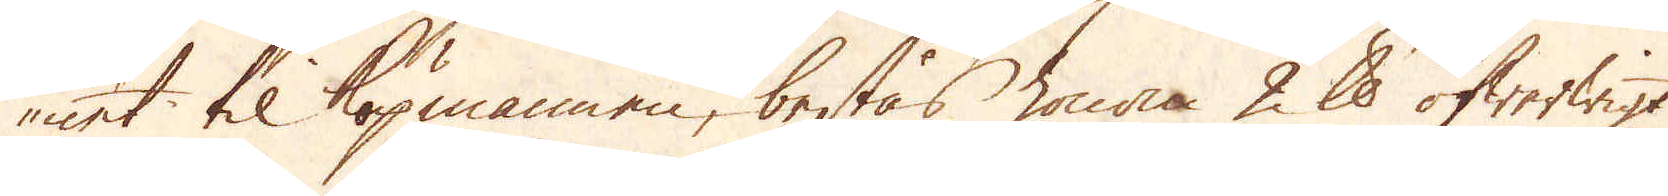net til köpmannen, bestås honom 2 skålpund öfwerwigt
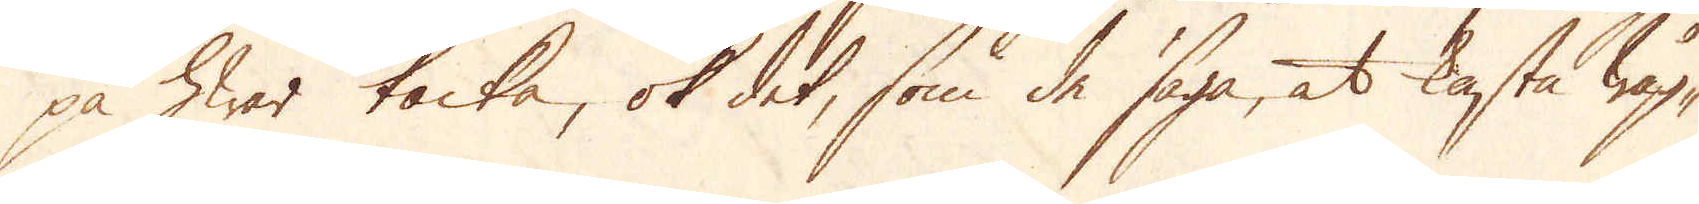på hwar tacka, ok det, som de säga, at kasta wåg-
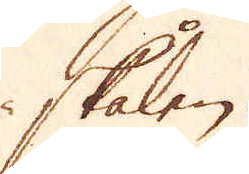skålen.
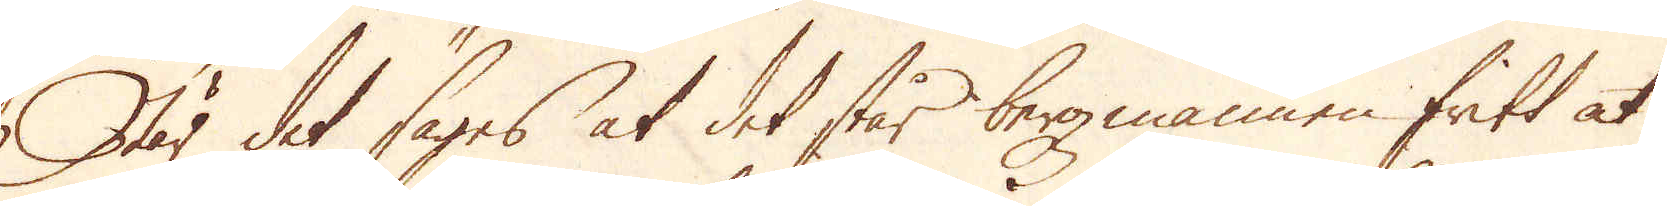När det säges at det står bergzmannen fritt at
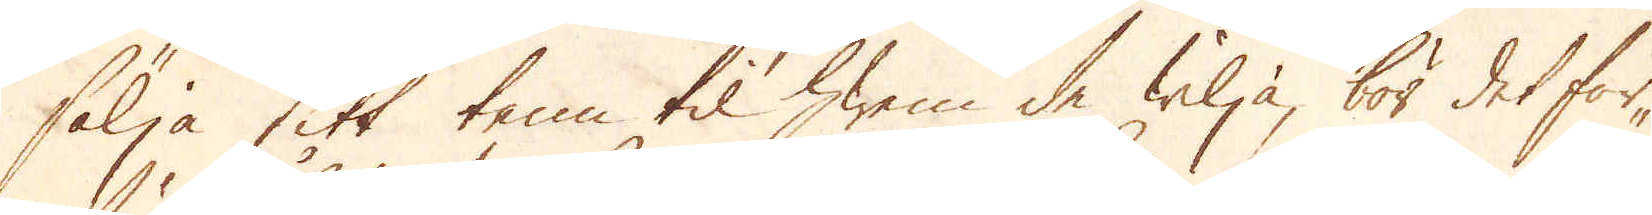sälja sitt tenn til hwem de wilja, bör det för-
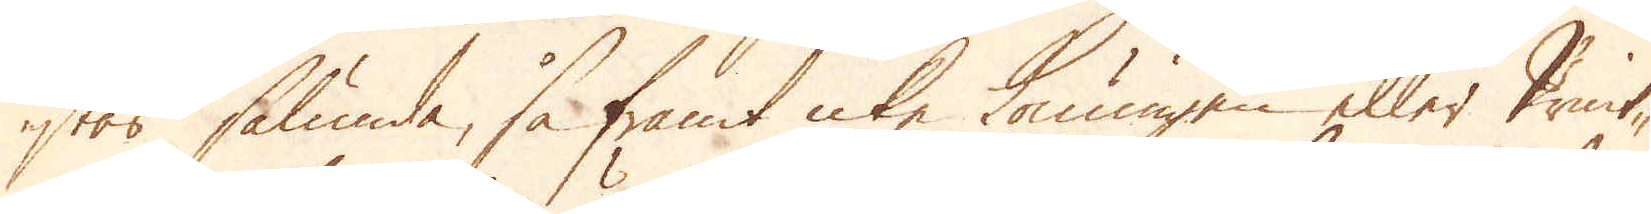stås sålunda, så framt icke Konungen eller Print-
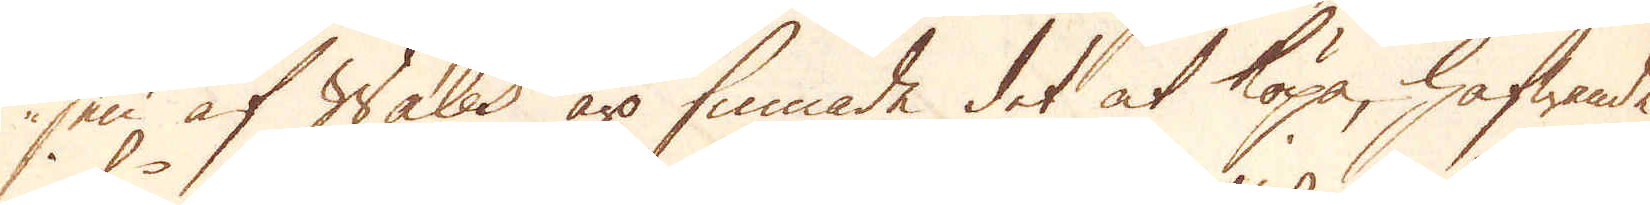sen af Wales äro finnade det at köpa, hafwande
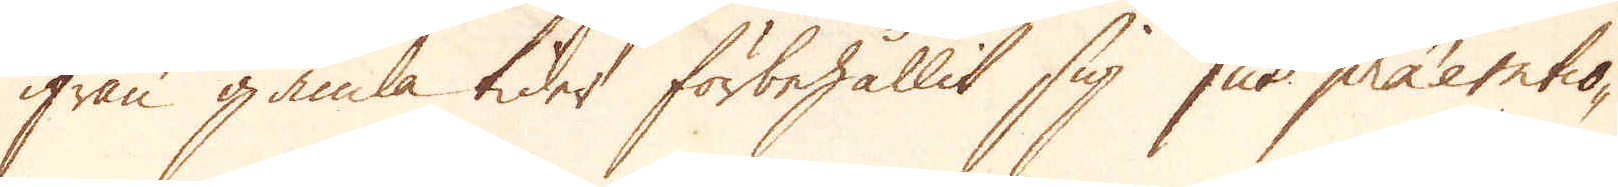ifrån gamla tider förbehållit sig jus praetentio-
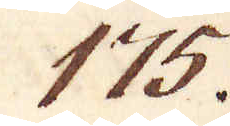175.
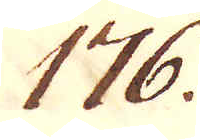176.
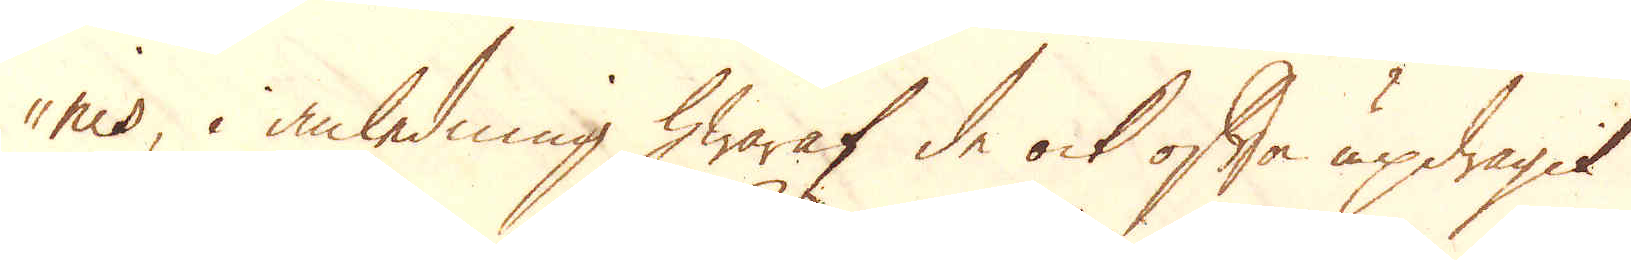nes, i anledning hwaraf de ock ofta updragit
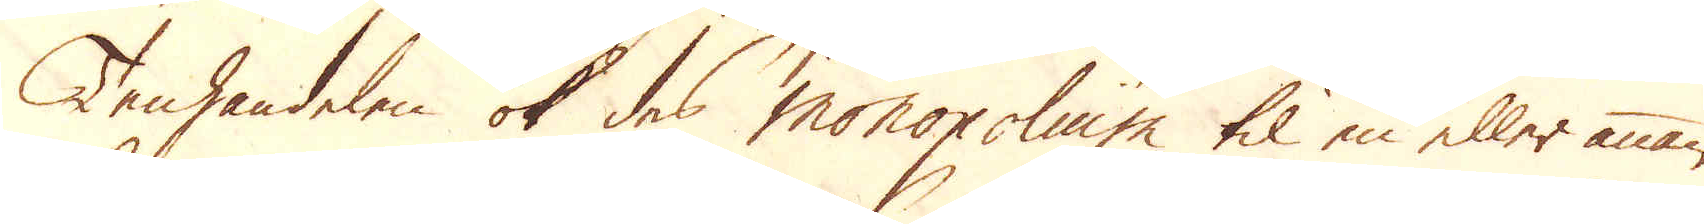Tenhandelen ok des monopolium til en eller annan
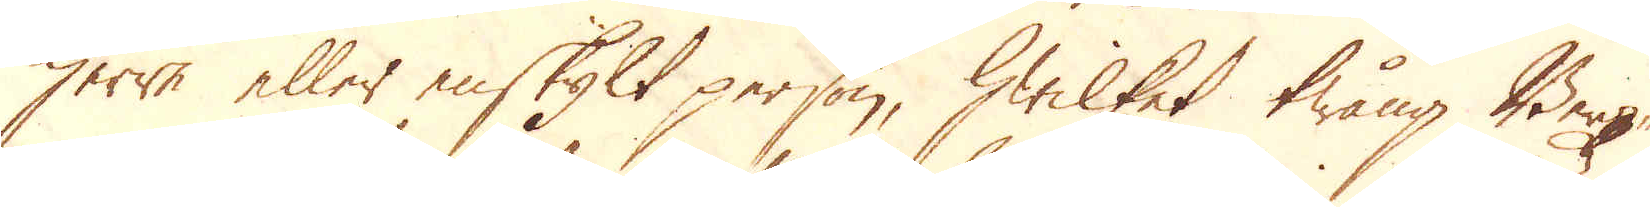herre eller enskylt person, hwilket twång Berg-
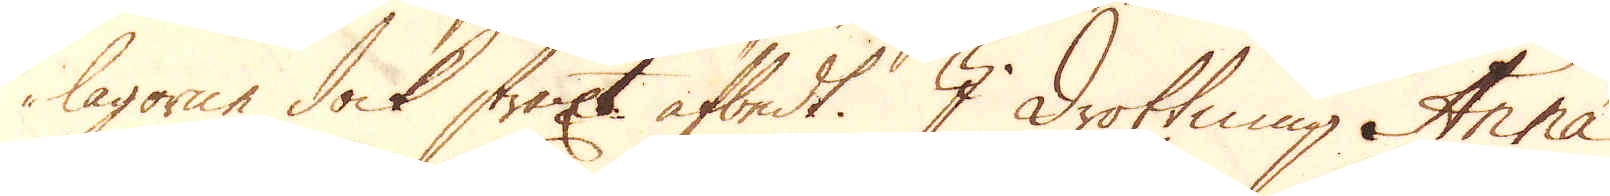lagorne dock straxt afbedt. I Drottning Anna'
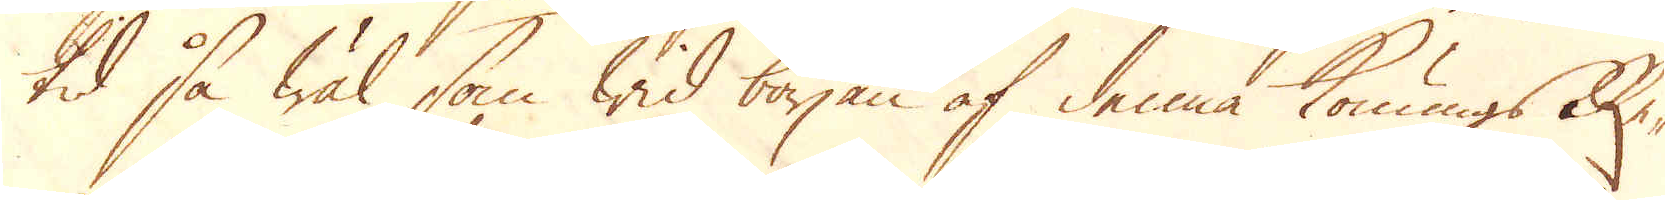tid så wäl som wid början af denna Konungs e-
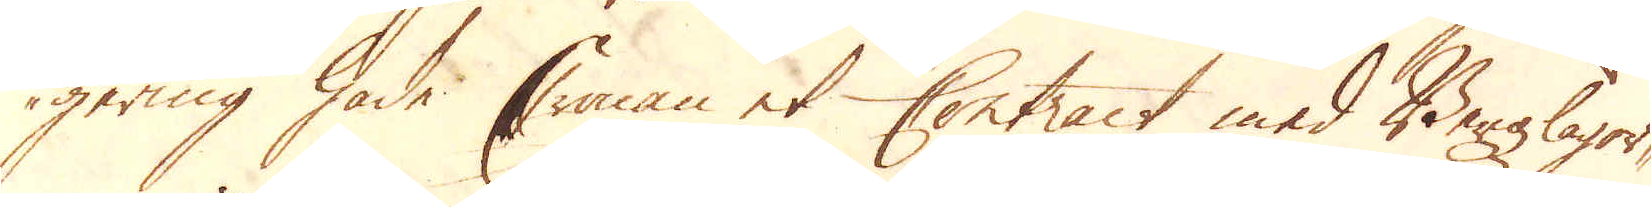gering hade Cronan et Contract med Bergzlagor-
